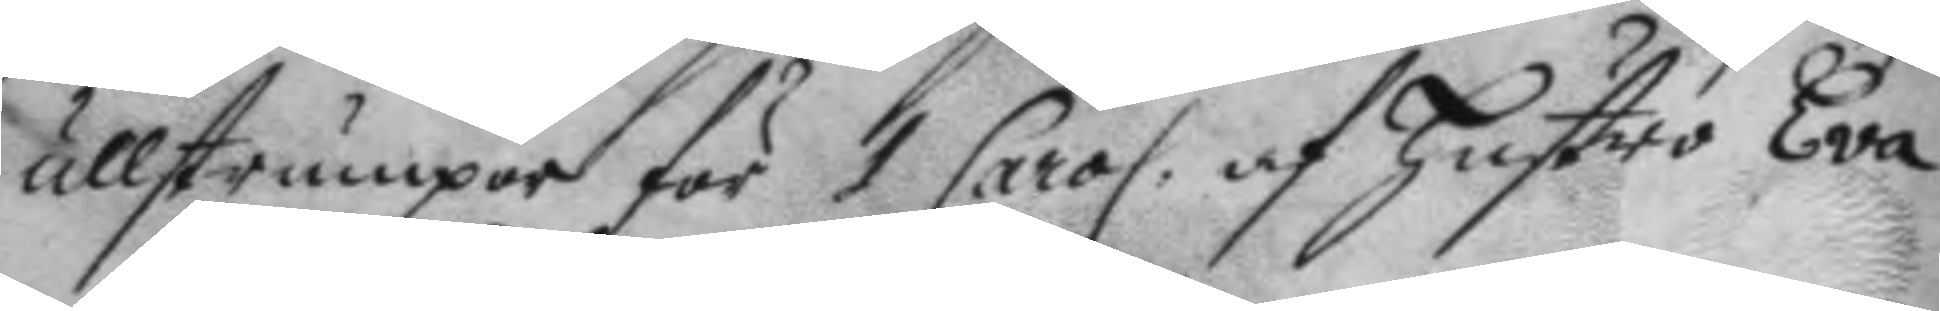ullstrumpor för 1 Carol. af hustro Eva
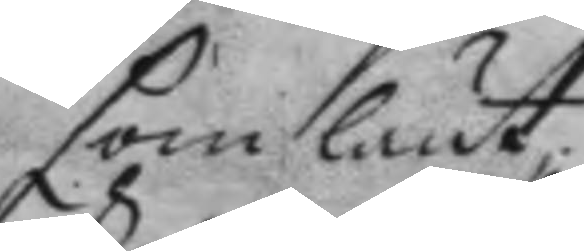som lånt.
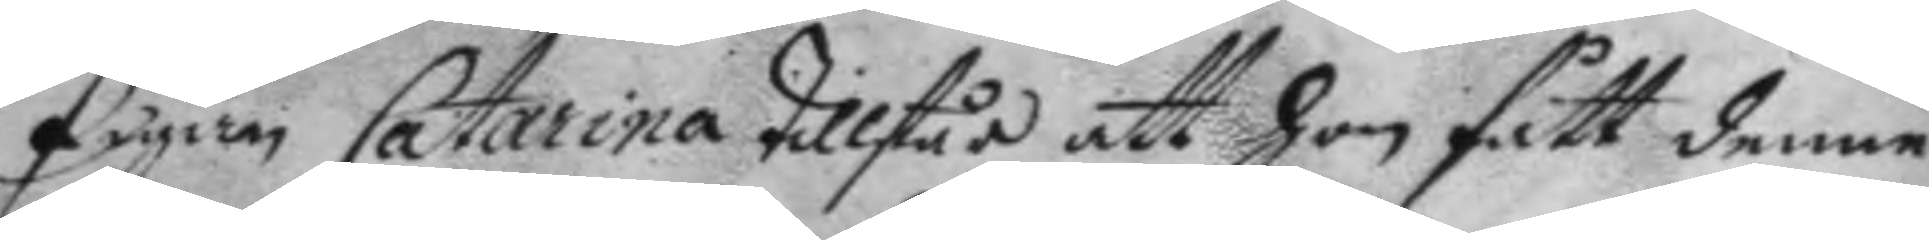Pigan catharina tillstår att hon fått denne
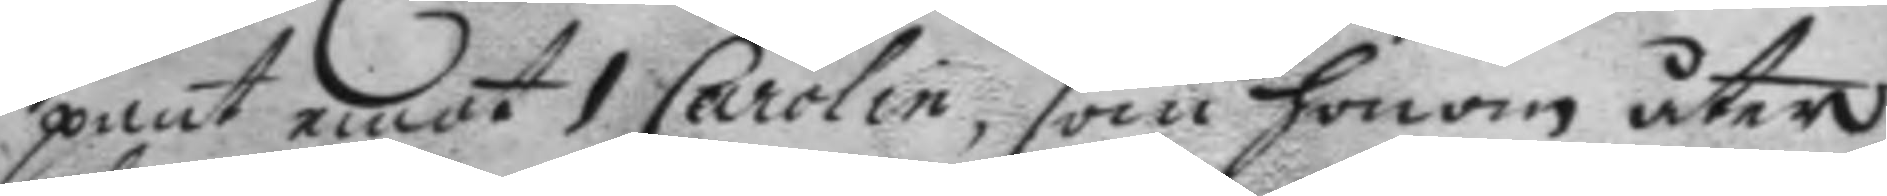pant emot 1 Carolin, som honom åter
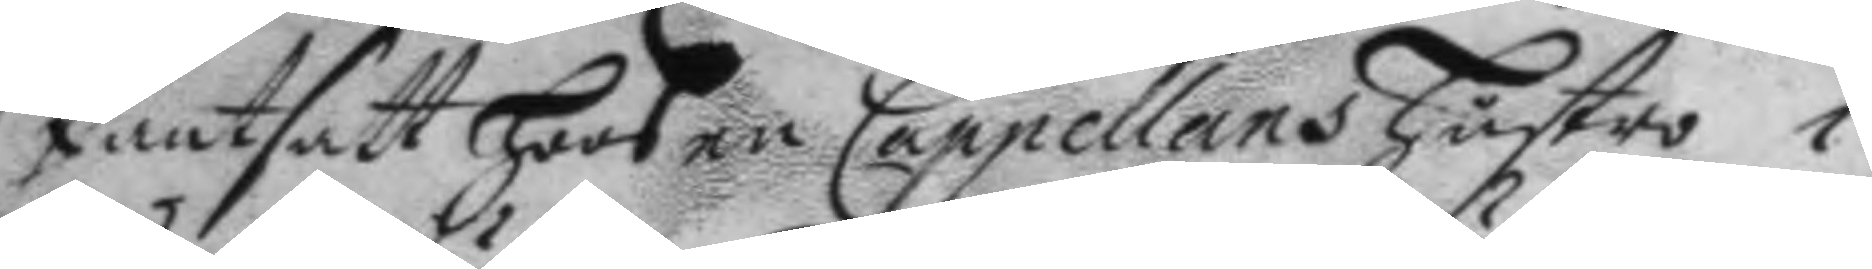Pantsatt hoos en Cappellans hustro i
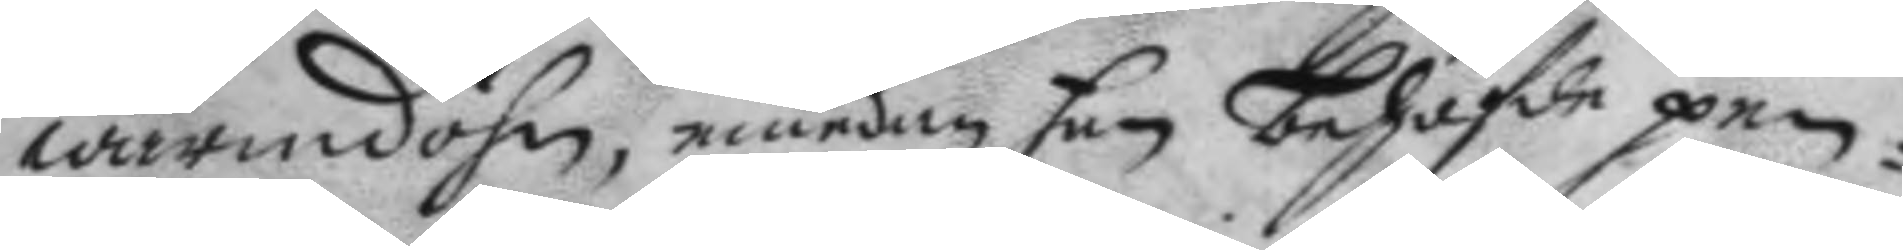wärmdöhn, emedan hon behöfde pen¬
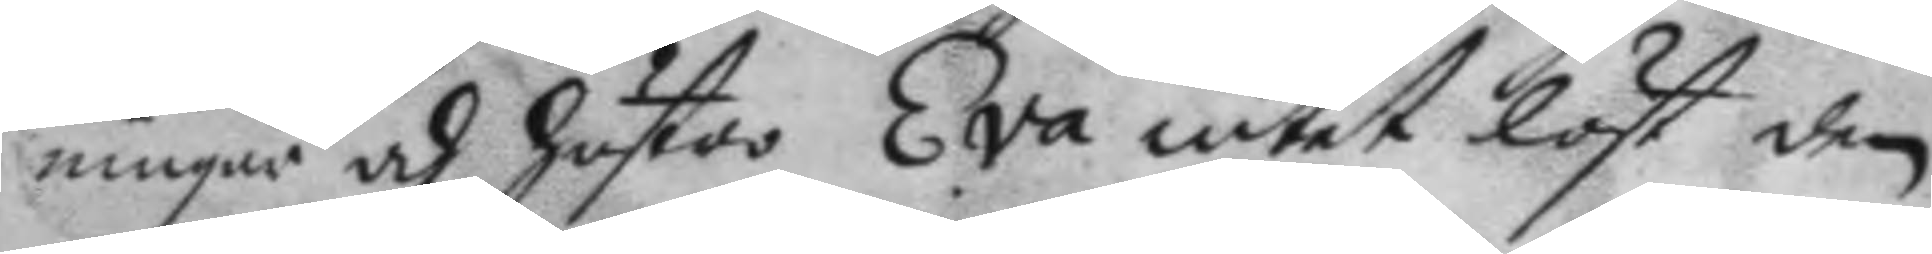ningar och hustro Eva intet löst den
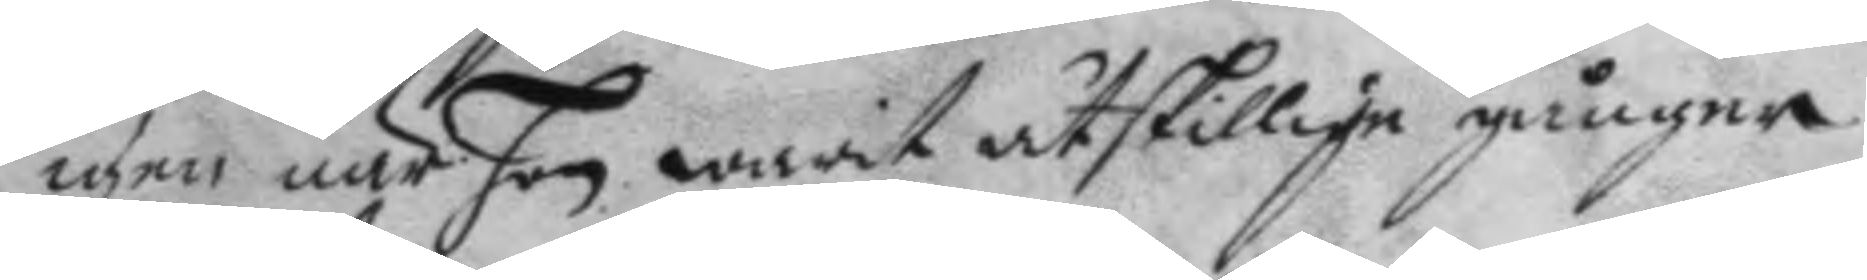igen när hon warit åtskillige gånger
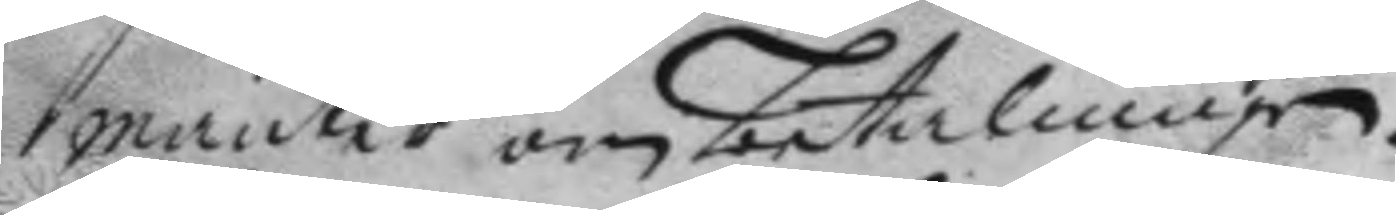manter om betalningen.
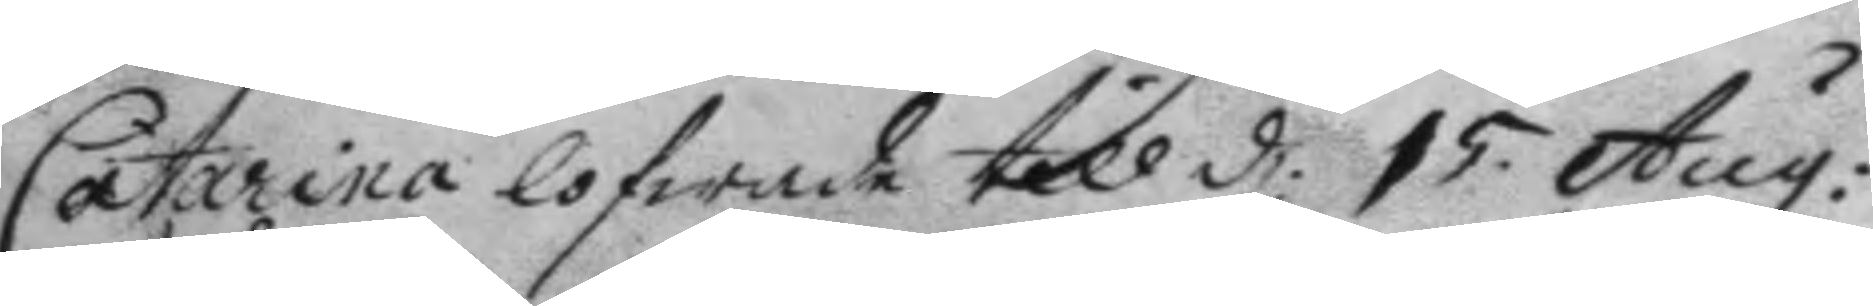Catarina lofwade till d: 15. Aug:
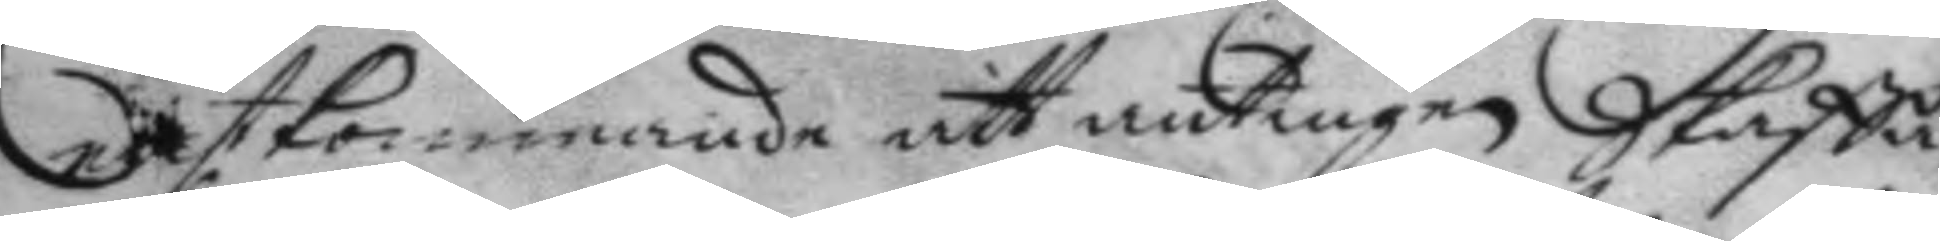nästkommande att antingen Skaffa
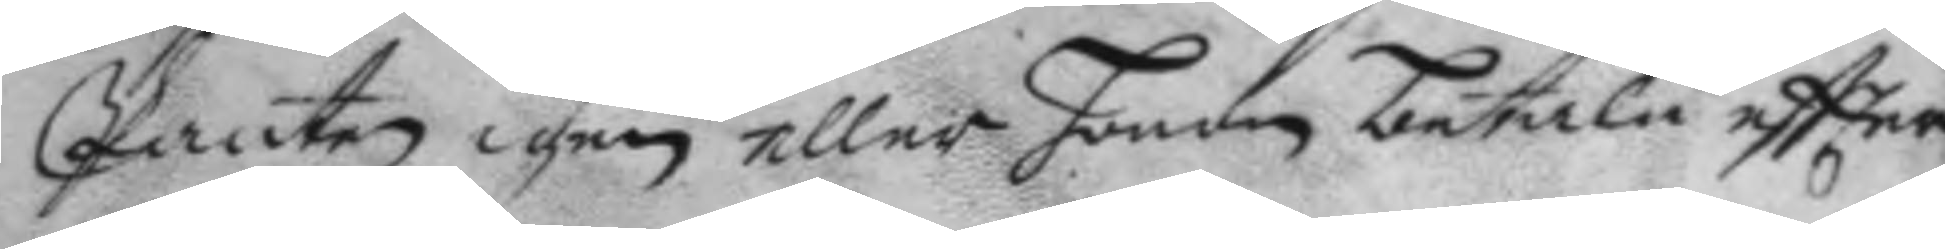Panten igen eller hono betala eftter
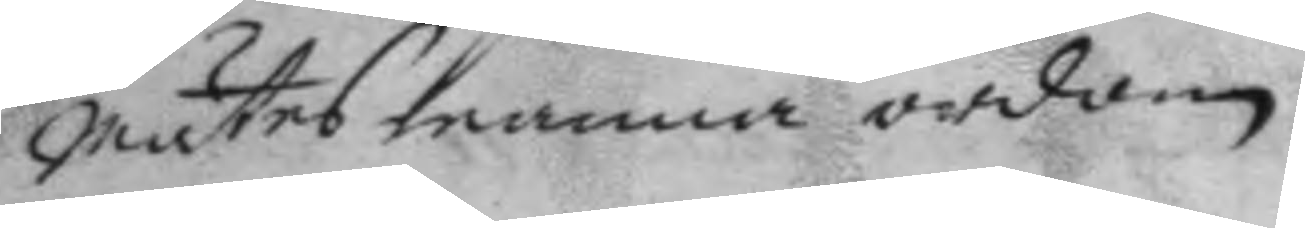mästes manna ordon.
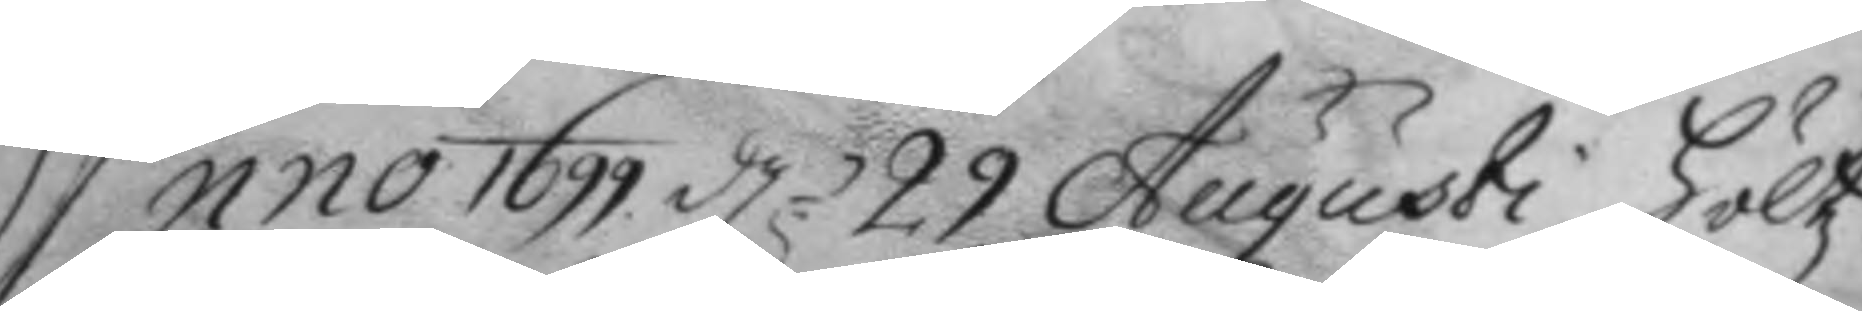Anno 1699 d.n 29 Augusti höltz
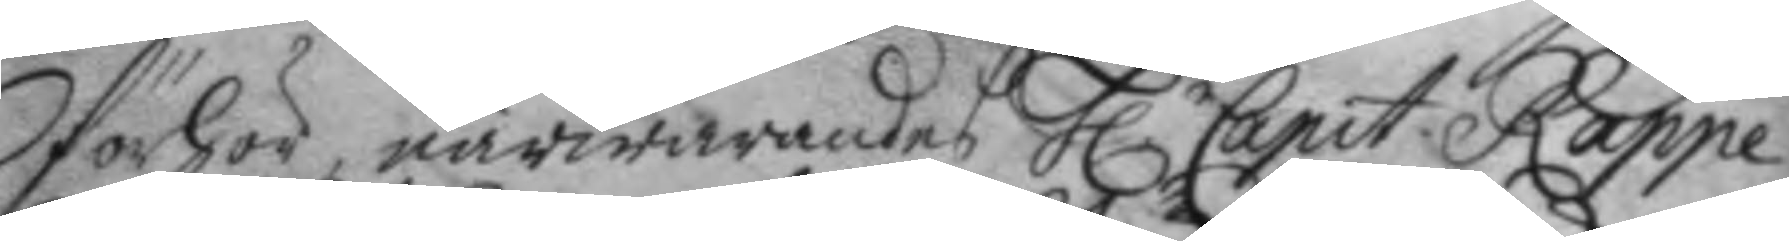förhör, närwarandes h.r Capit. Rappe
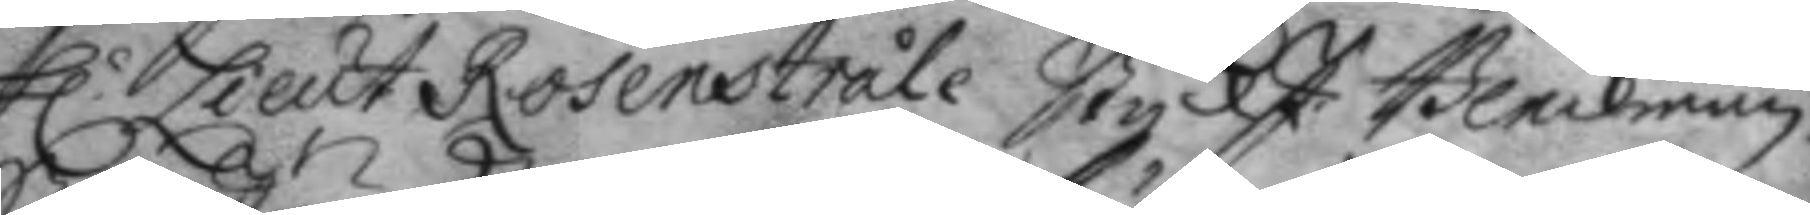h.r Lieut Rosenstråle StyckJ: Bleckman.
